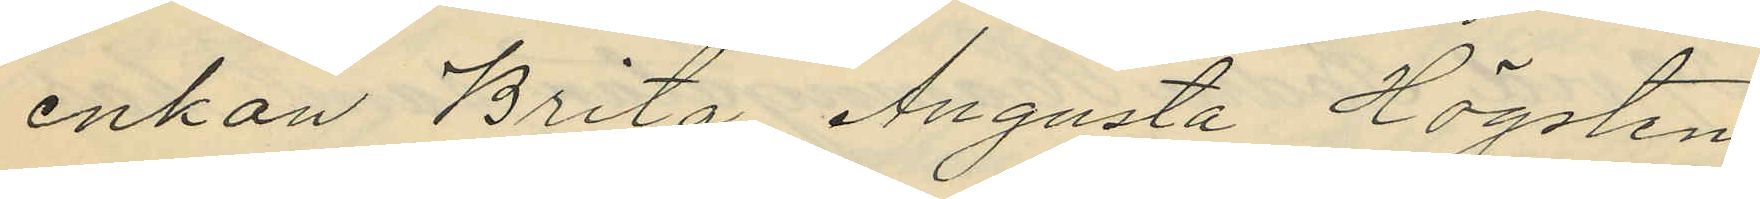enkan Brita Augusta Högsten
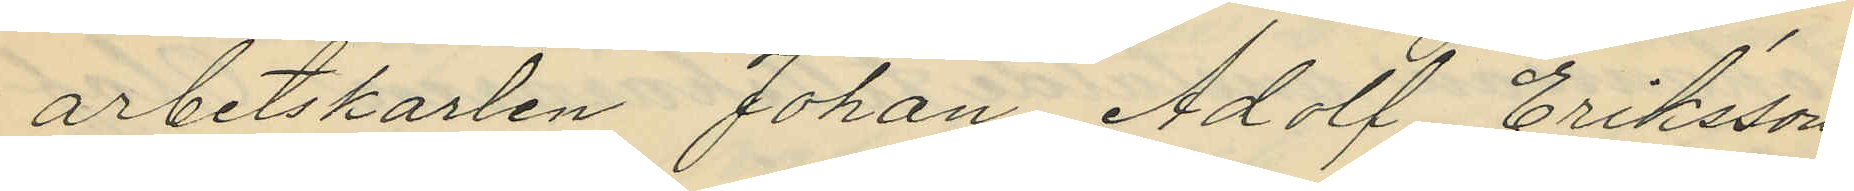arbetskarlen Johan Adolf Eriksson
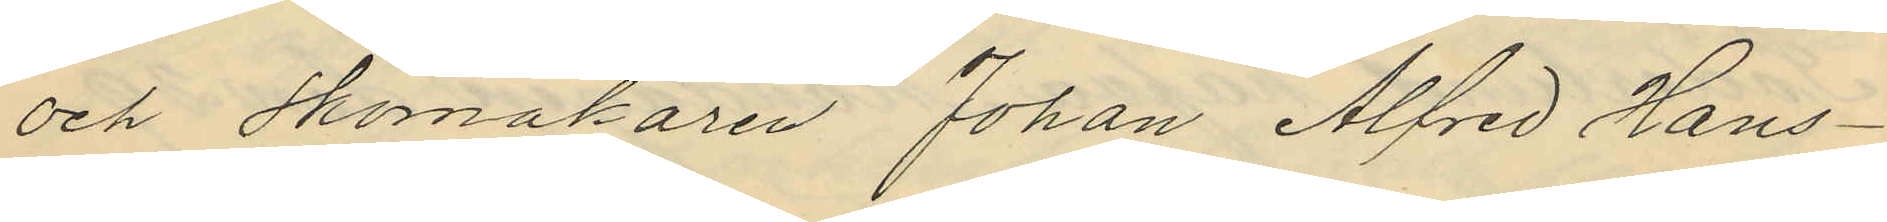och Skomakaren Johan Alfred Hans¬
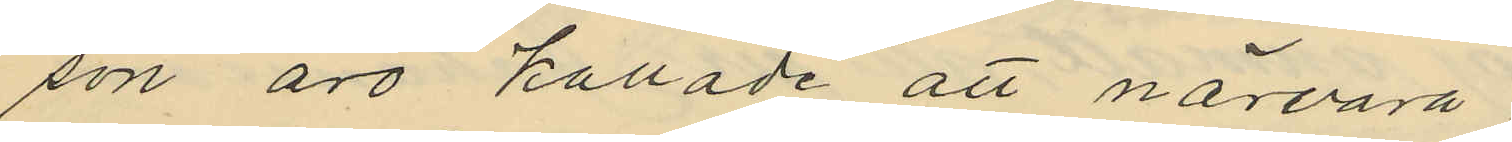son äro kallade att närvara.
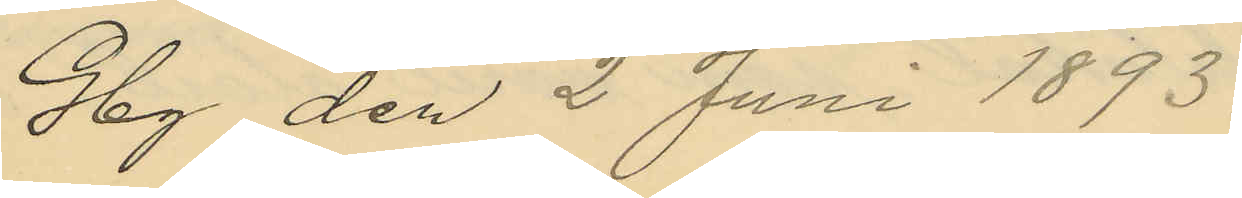Gbg den 2 Juni 1893.
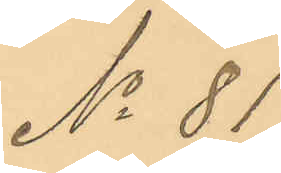No 81
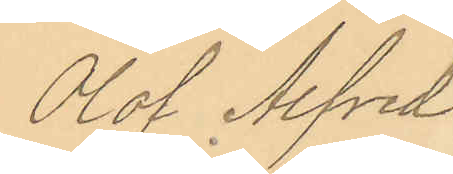Olof Alfred
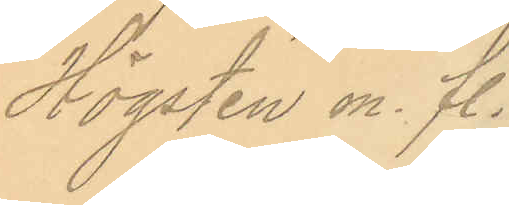Högsten m. fl.
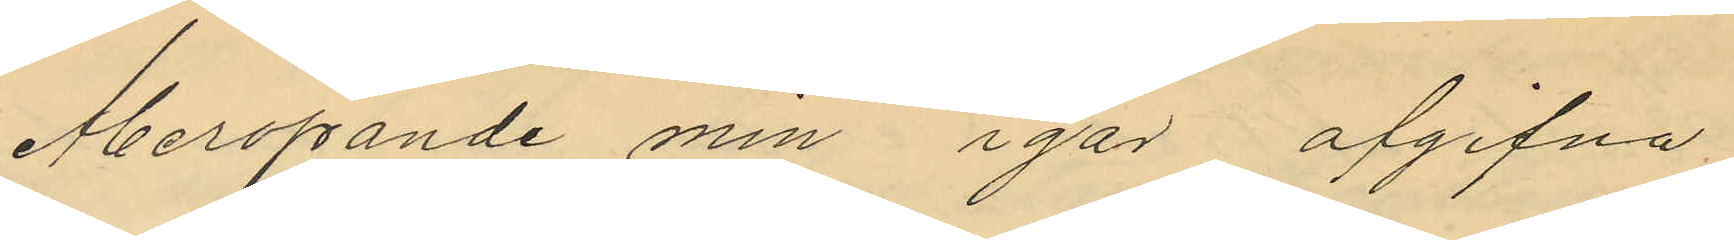Åberopande min igår afgifna
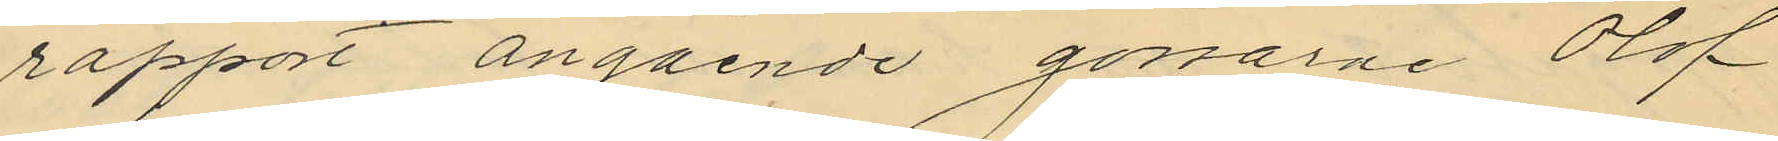rapport angående gossarne Olof
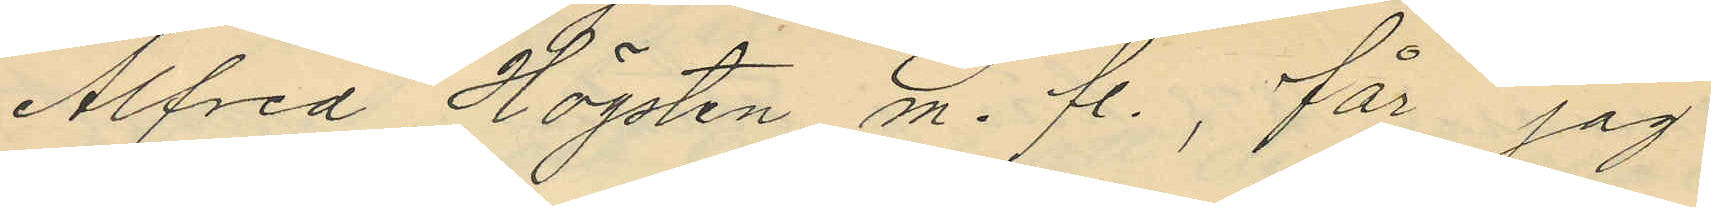Alfred Högsten m. fl., får jag
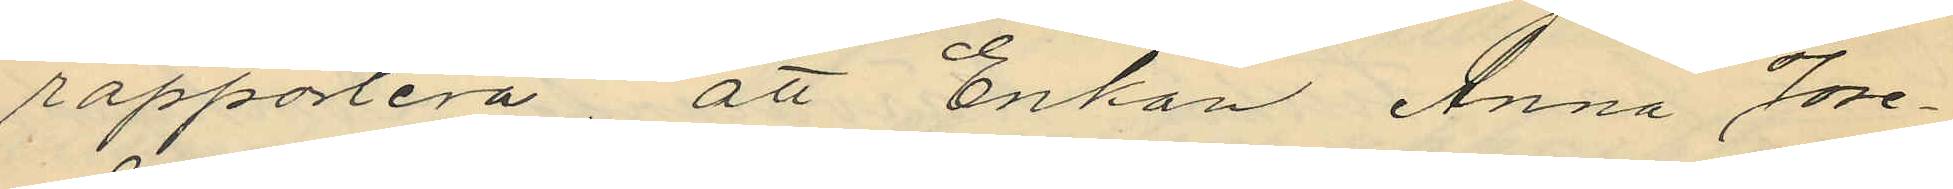rapportera, att Enkan Anna Jose¬
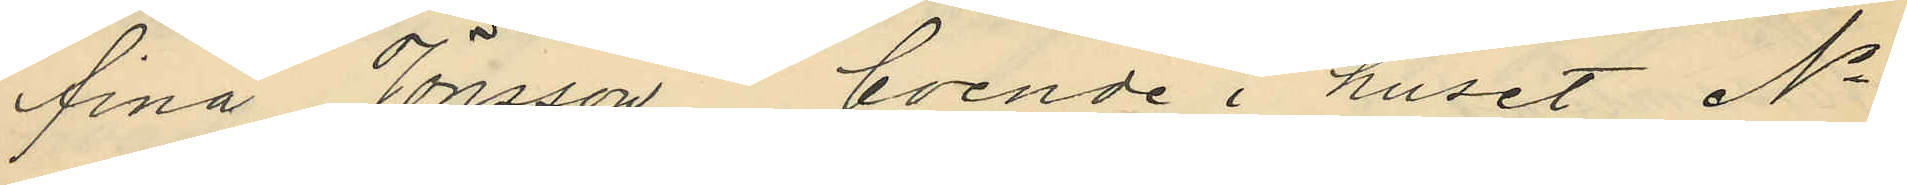fina Jönsson, boende i huset No
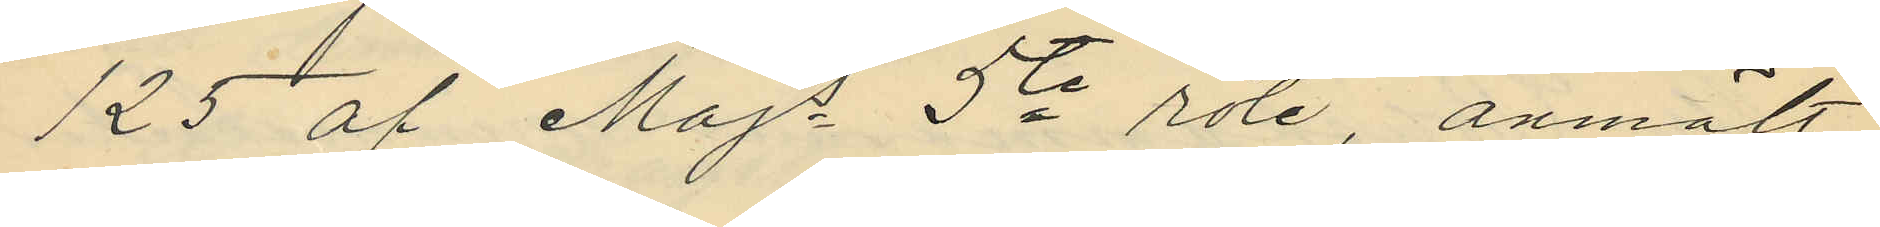125 af Majs 5te rote, anmält,
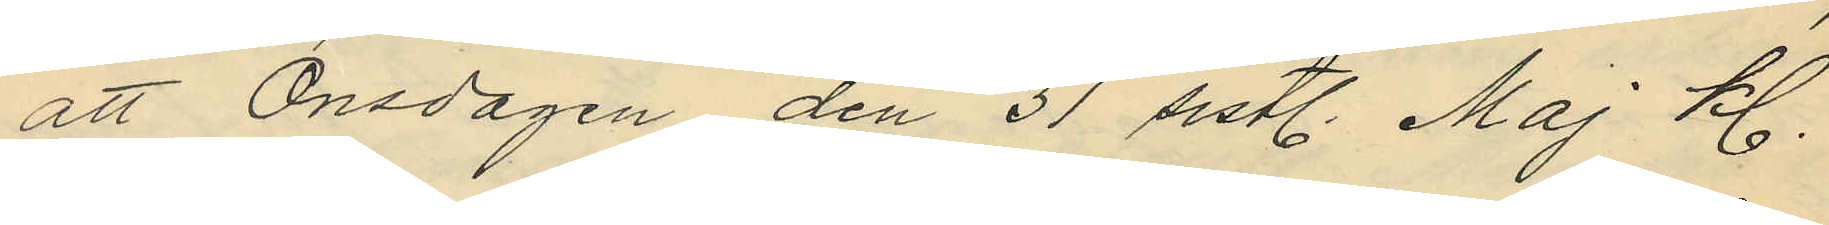att Onsdagen den 31 sistl. Maj kl.
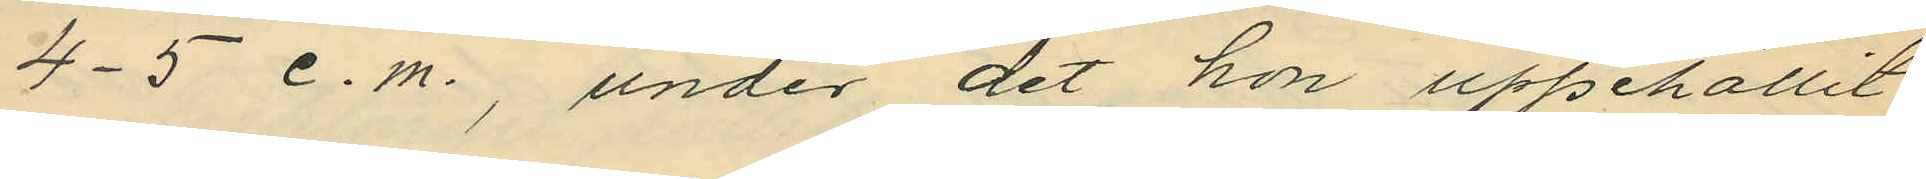4-5 e.m., under det hon uppehållit
